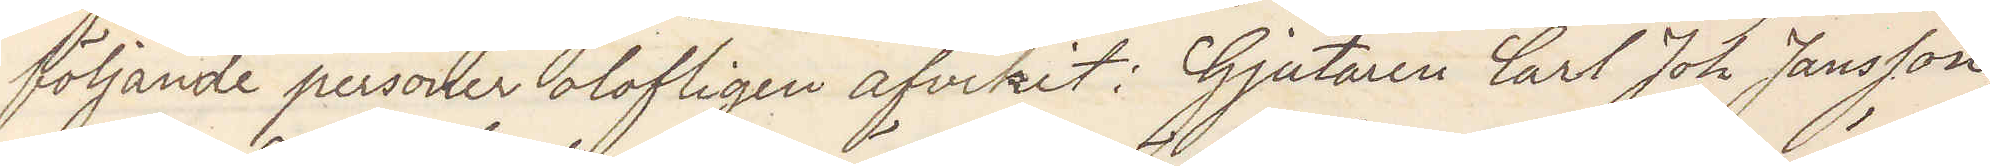följande personer olofligen afvikit: Gjutaren Carl Joh Jansson,
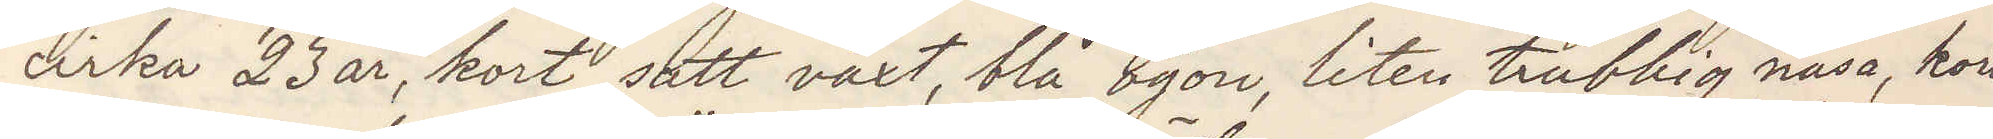cirka 23 år, kort satt växt, blå ögon, liten trubbig näsa, kort
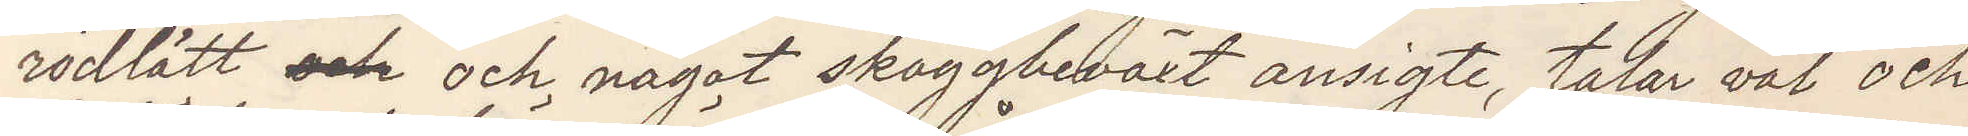rödlätt och och något skäggbeväxt ansigte, talar väl och
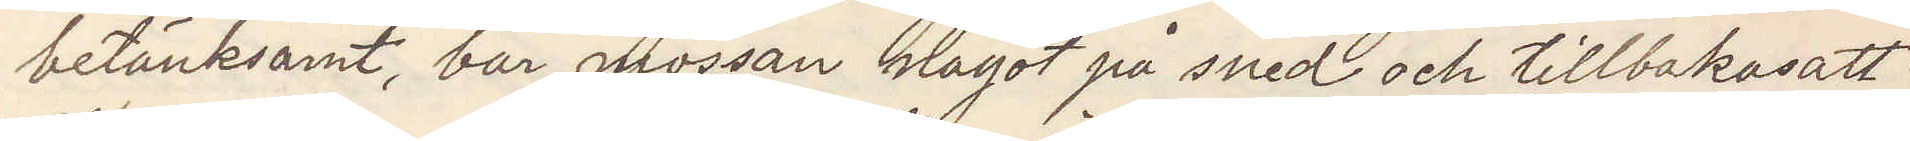betänksamt, bär mössan något på sned och tillbakasatt.
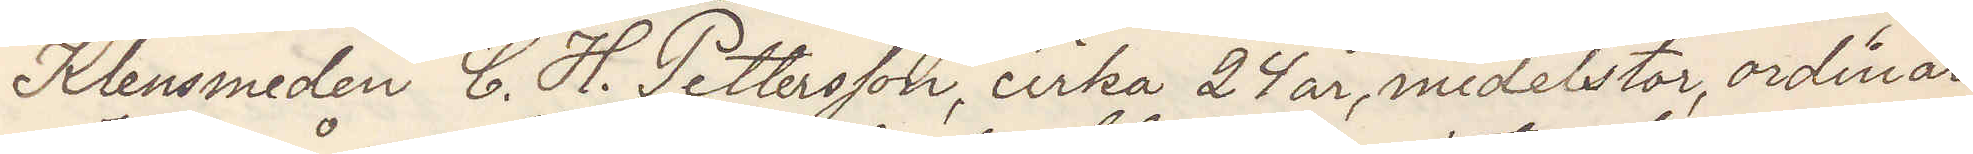Klensmeden C. H. Pettersson cirka 24 år, medelstor, ordinär
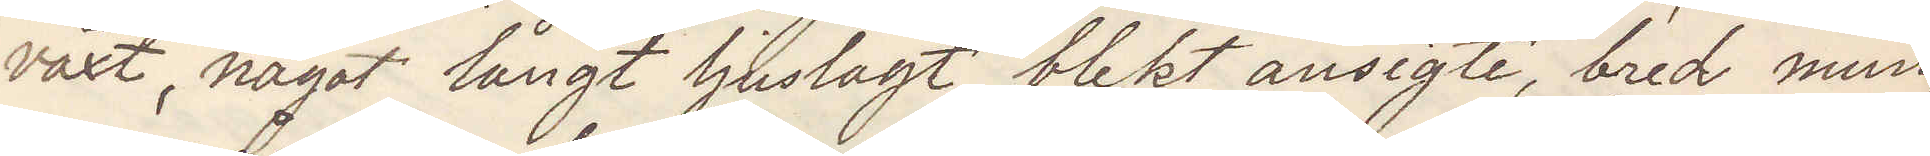växt, något långt ljuslagt blekt ansigte, bred mun,
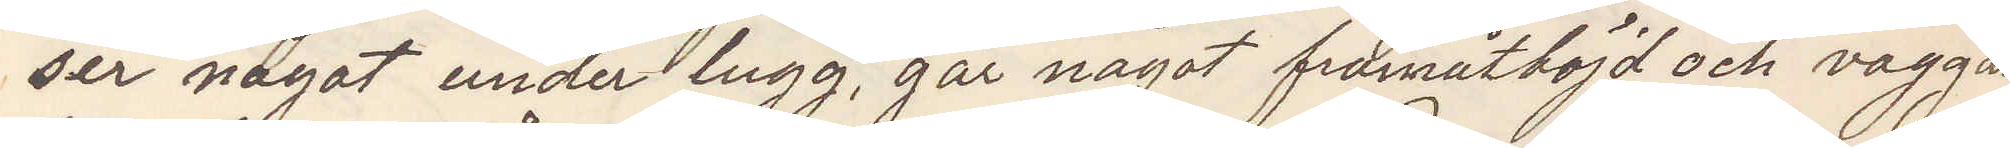ser något under lugg, går något framåtböjd och vaggan¬
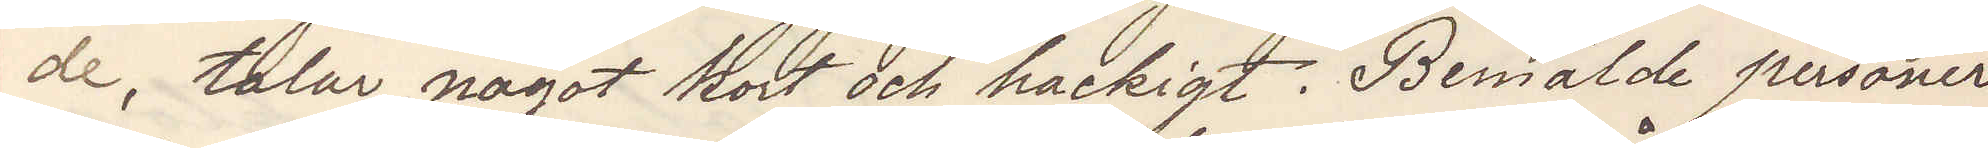de, talar något kort och hackigt. Bemälde personer
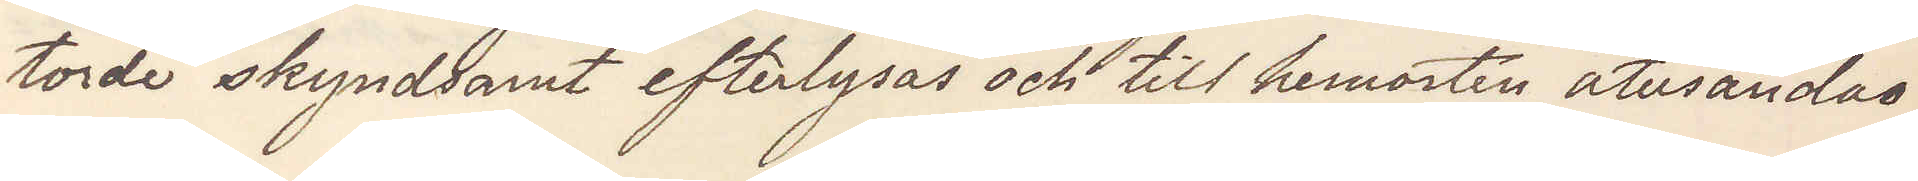torde skyndsamt efterlysas och till hemorten återsändas.
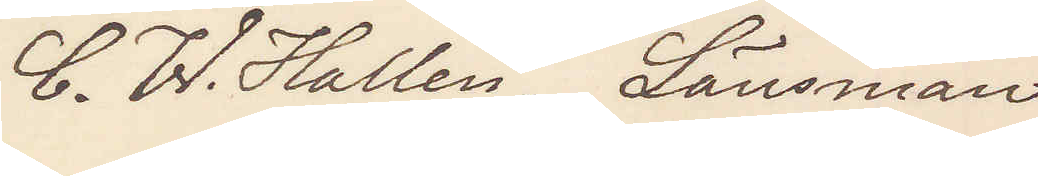C. W. Hallen. Länsman
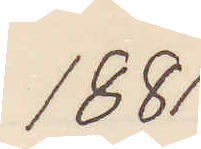1881
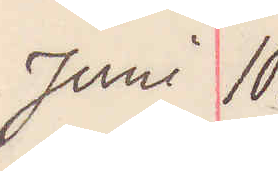JUni 10.
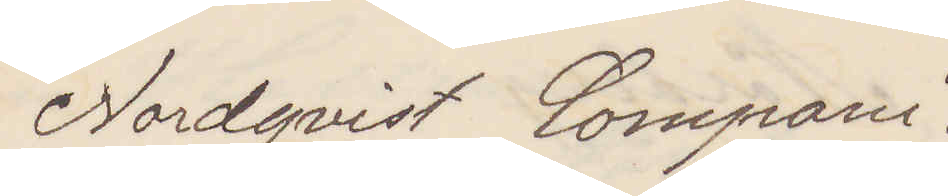Nordqvist Compani.
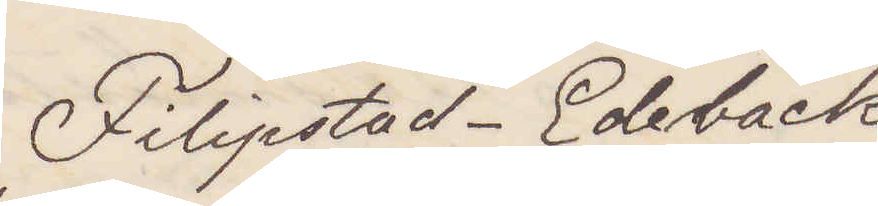Filipstad. Edebäck
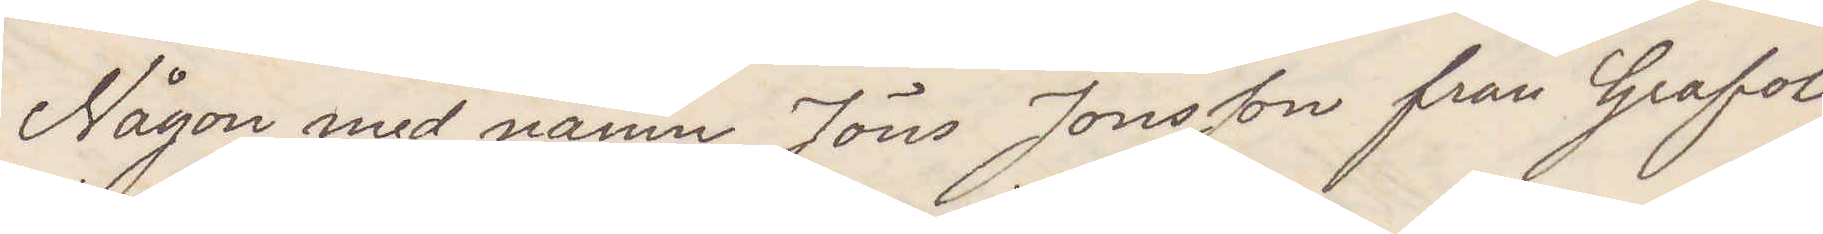Någon med namn Jöns Jonsson från Grafol
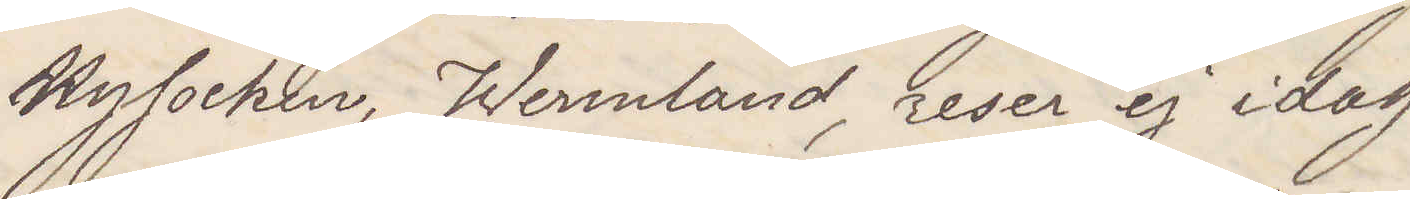Nysocken, Wermland, reser ej idag
